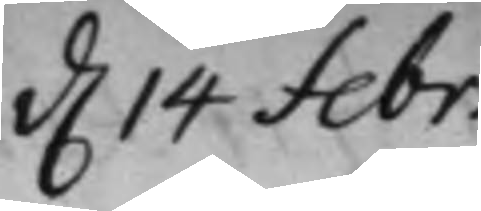d. 14 febr:
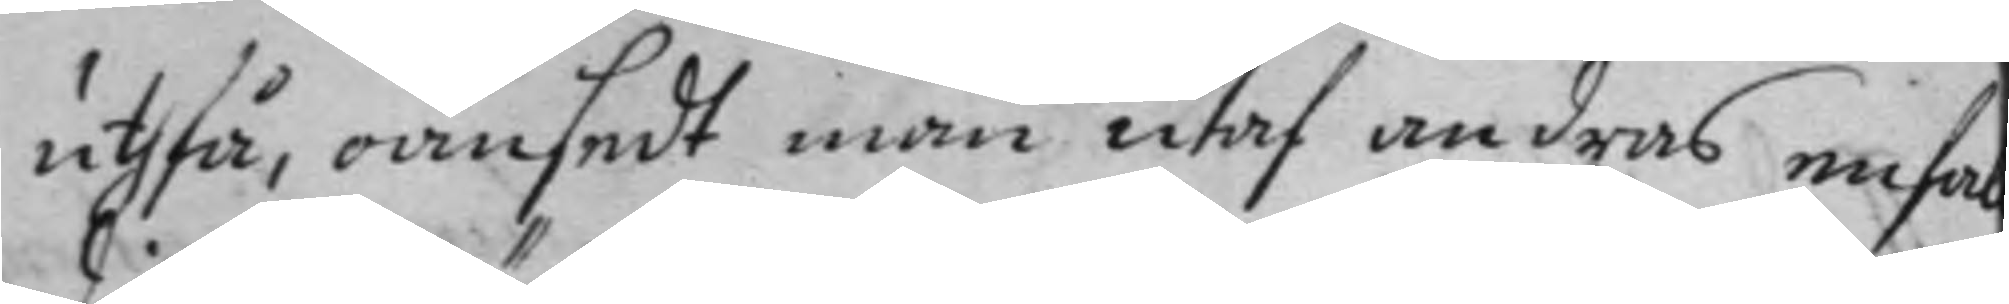uthfå, oansedt man utaf andras enfal
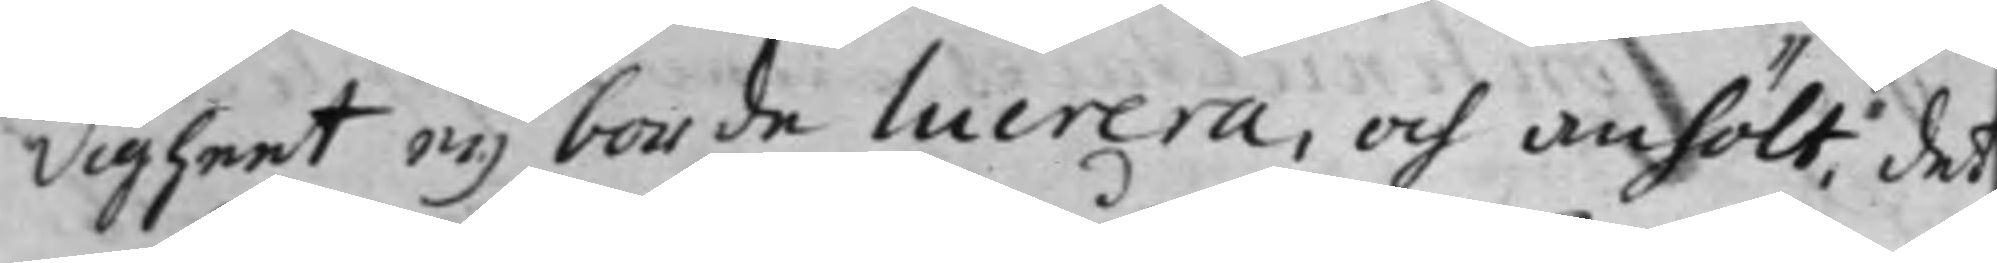digheet eij borde lucrera, och anhölt det
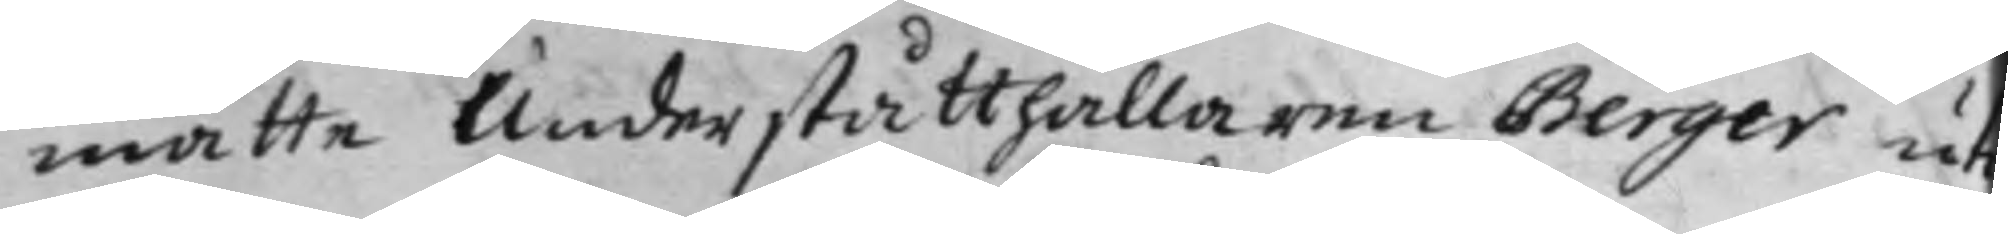måtte Underståtthållaren Berger uti
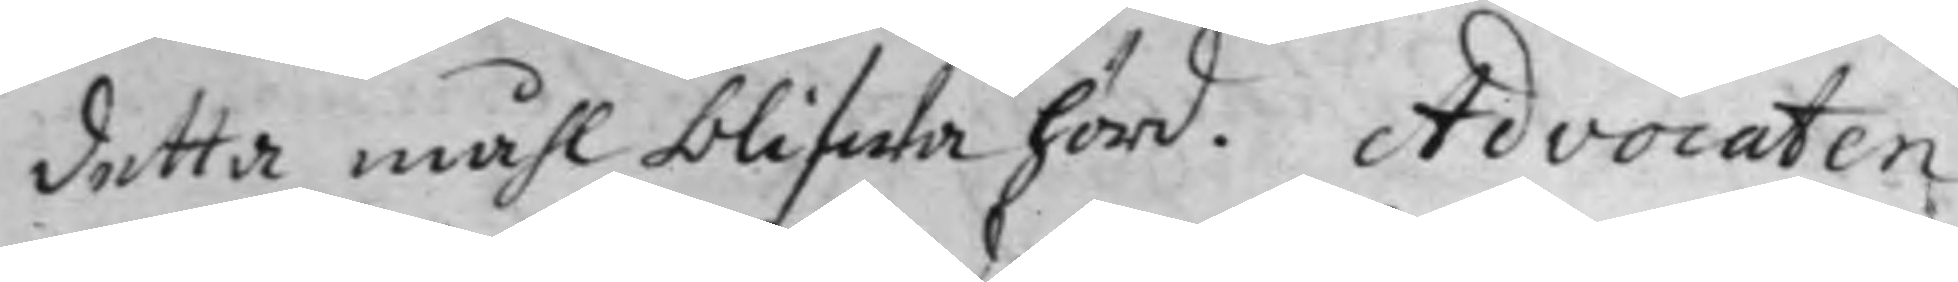detta måhl blifwa hörd. Advocaten
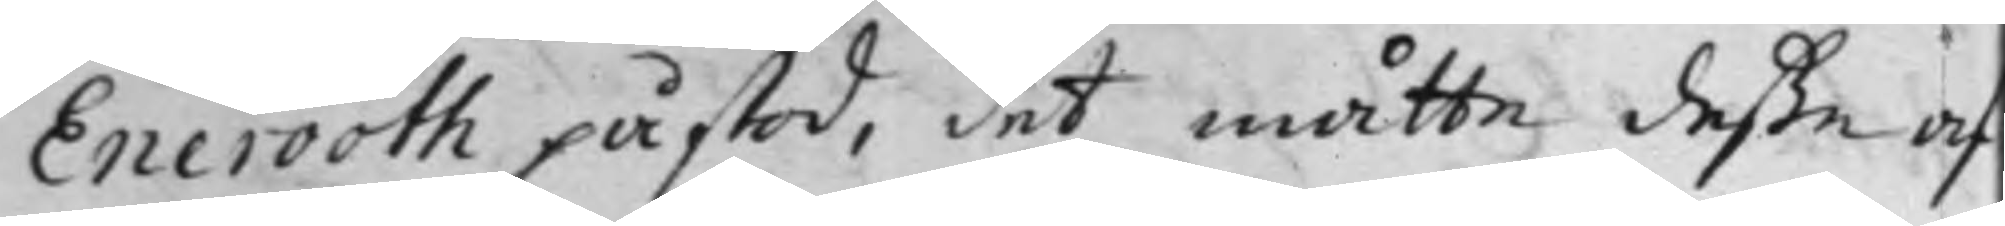Enerooth påstod, det måtte deße af
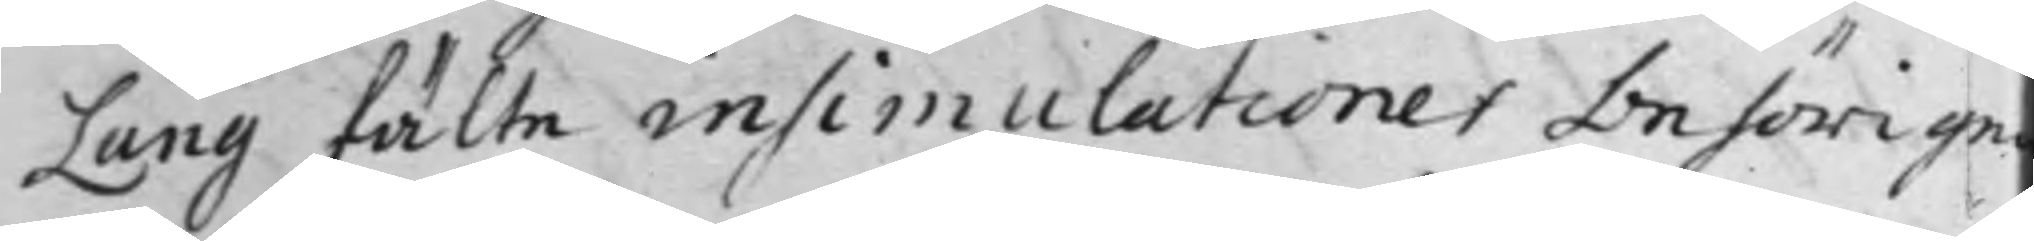Lang fälte insimulationer behörige
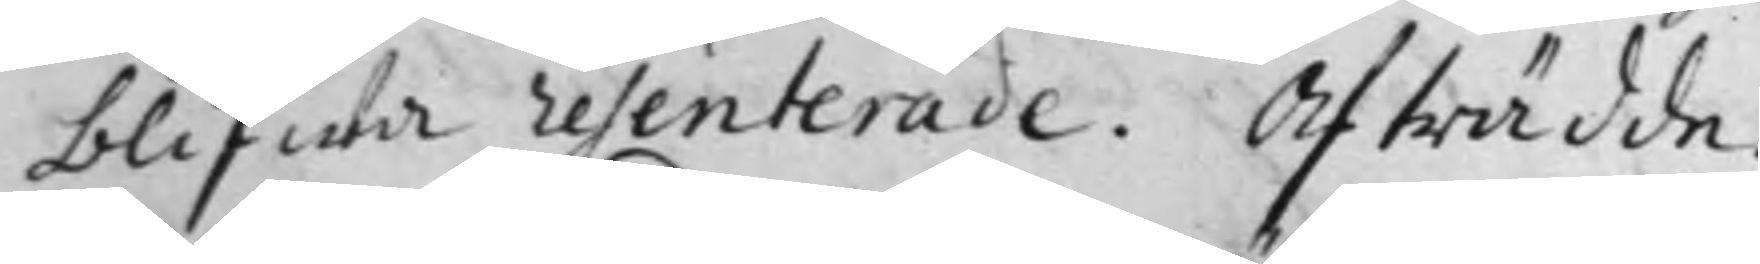blifwa resenterade. Afträdde.
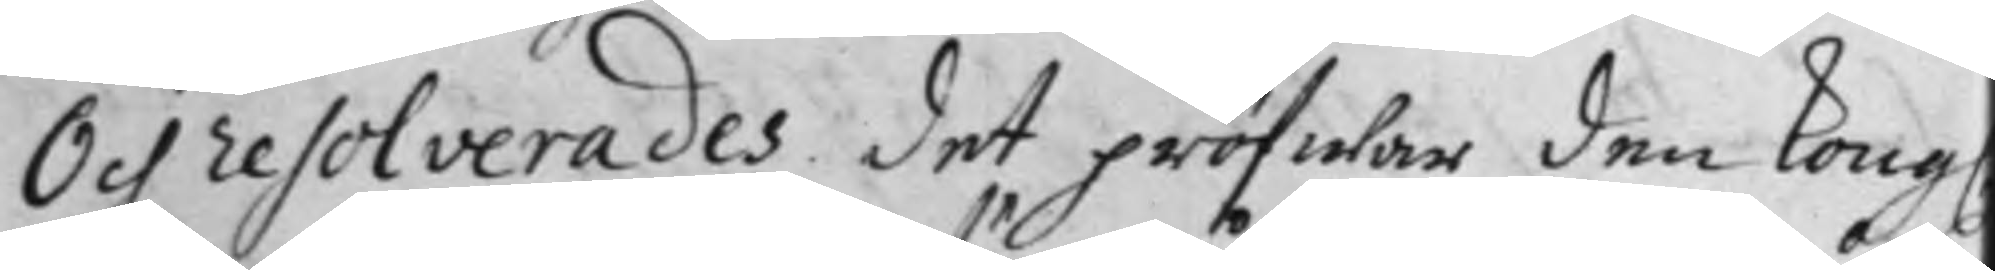Och resolverades det pröfwar den Kongl.
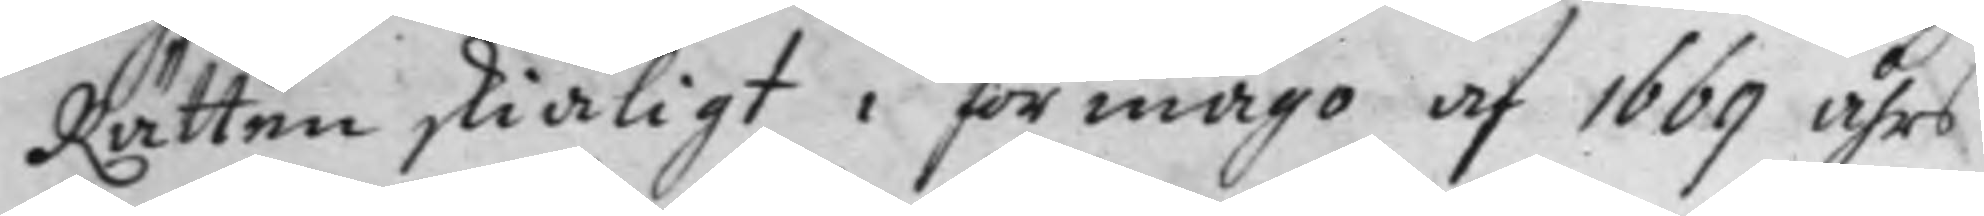Rätten skiäligt i förmågo af 1669 åhrs
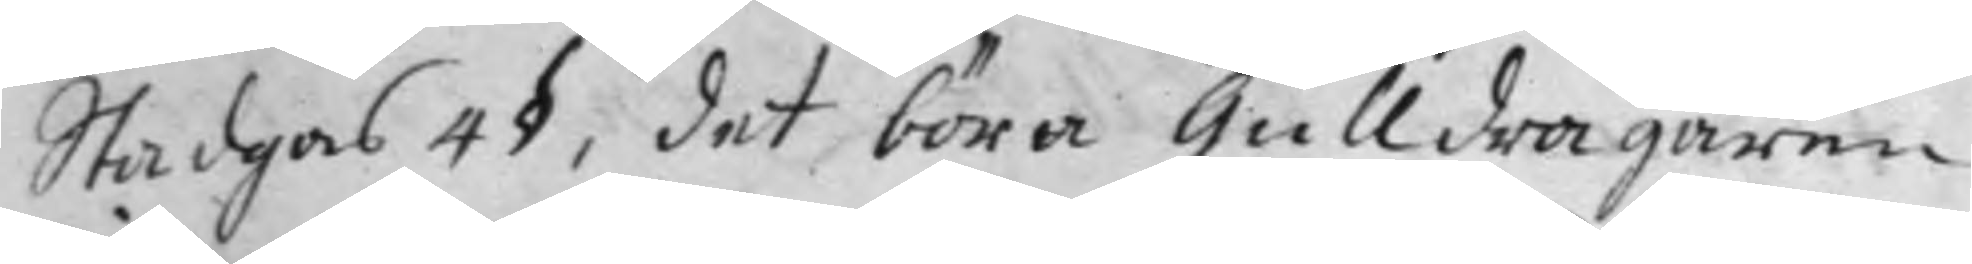Stadgar 4§, det böra Gulldragaren
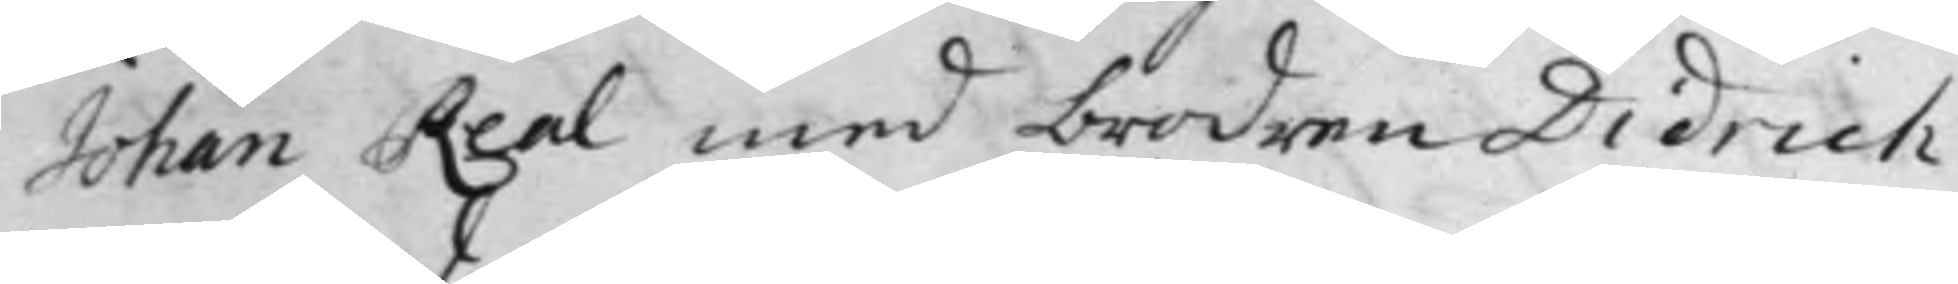Johan Real med brodren Didrich
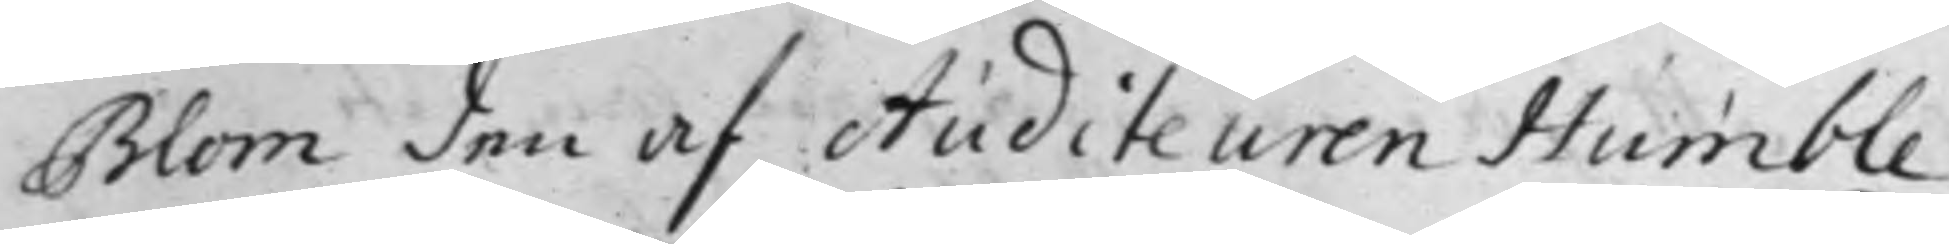Blom den af Auditeuren Humble
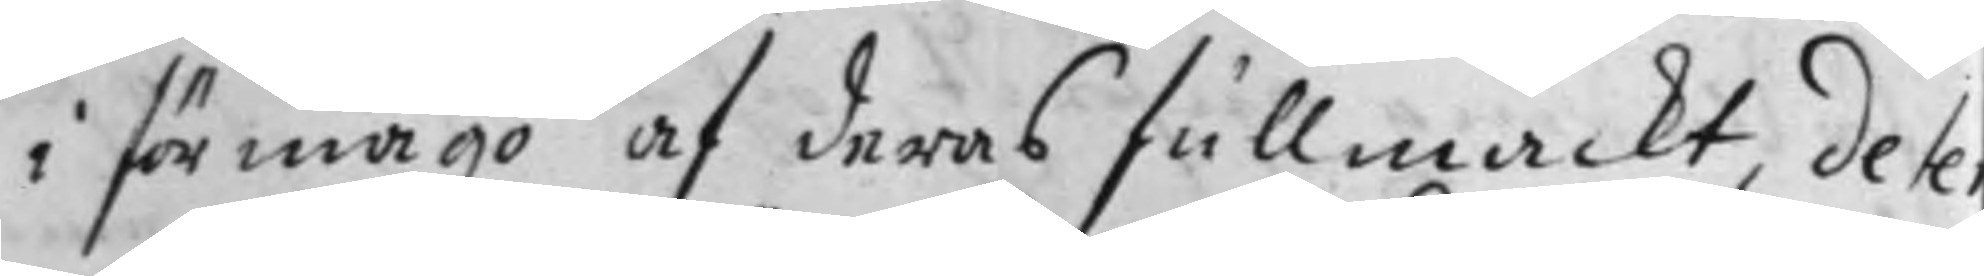i förmågo af deras fullmackt, deter
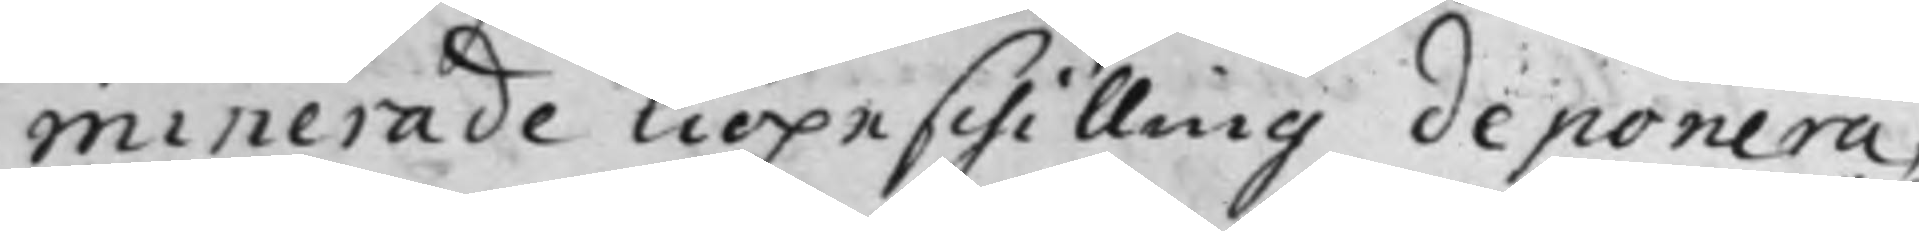minerade kiöpeschilling deponera,
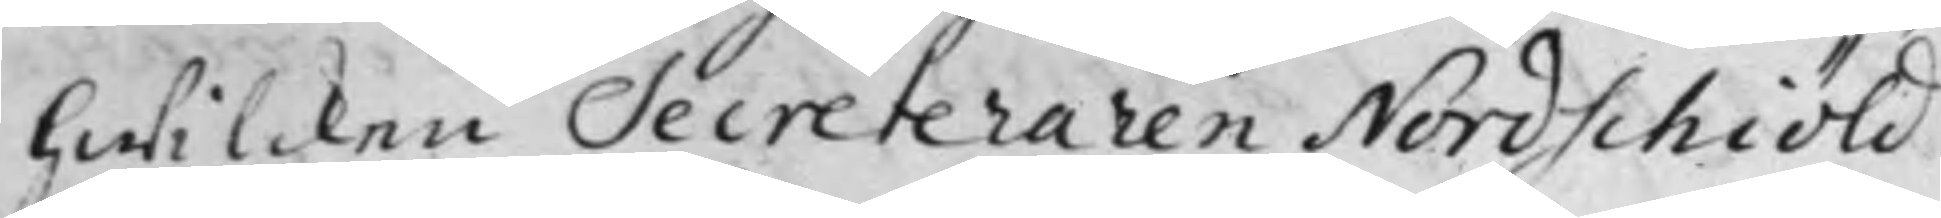hwilcken Secreteraren Nordschiöld
